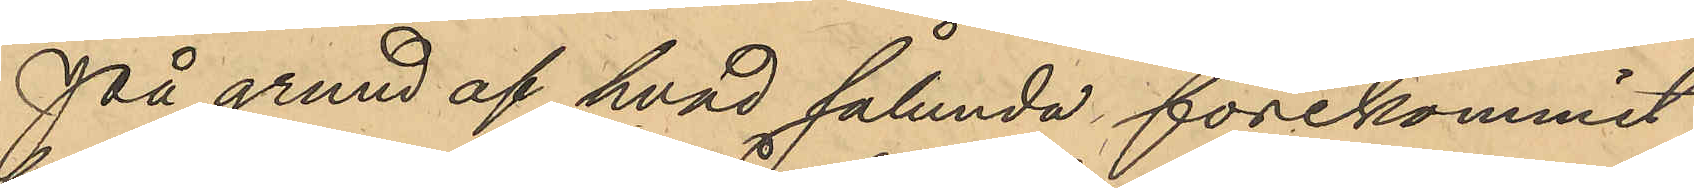På grund af hvad sålunda förekommit
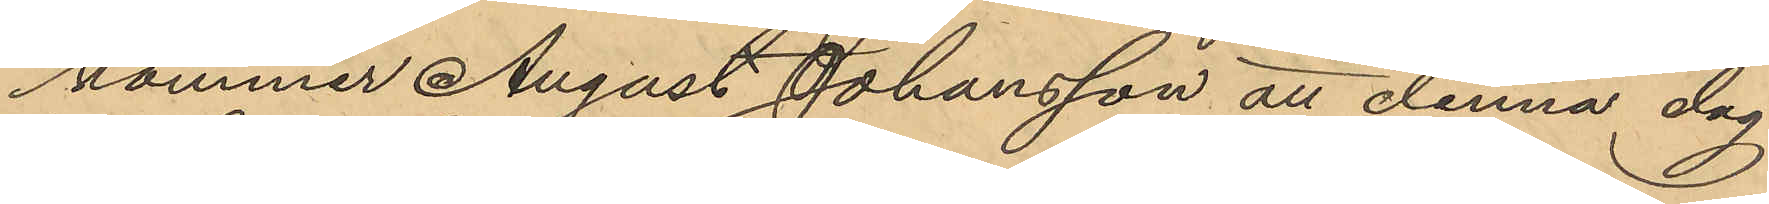kommer August Johansson att denna dag
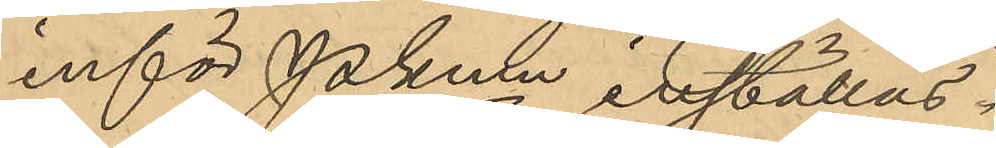inför Pkmn inställas.
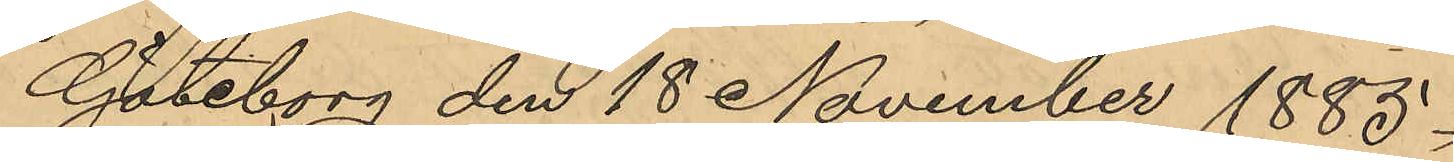Göteborg den 18 November 1885.
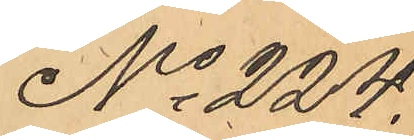No 224.
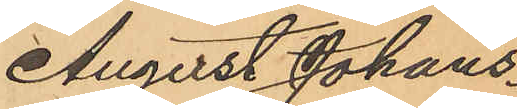August Johans¬
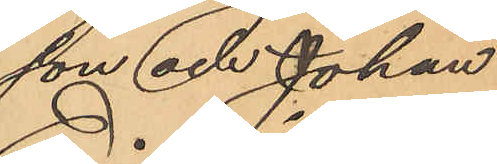son och Johan
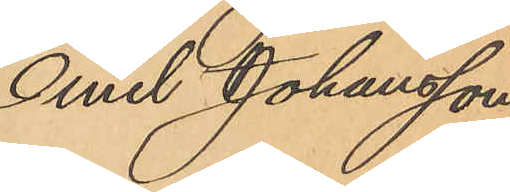Emil Johansson
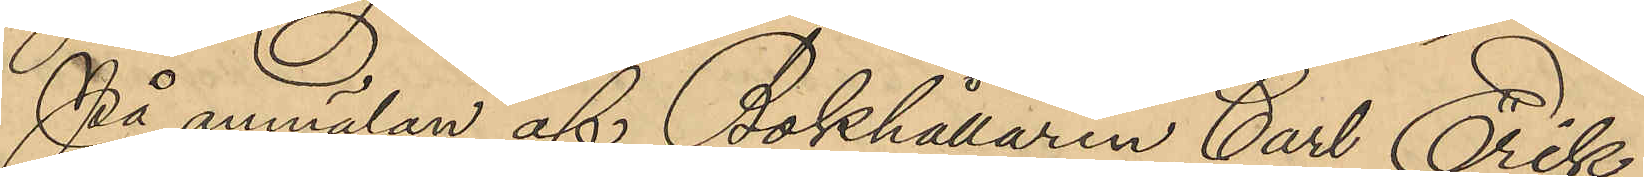På anmälan af Bokhållaren Carl Erik
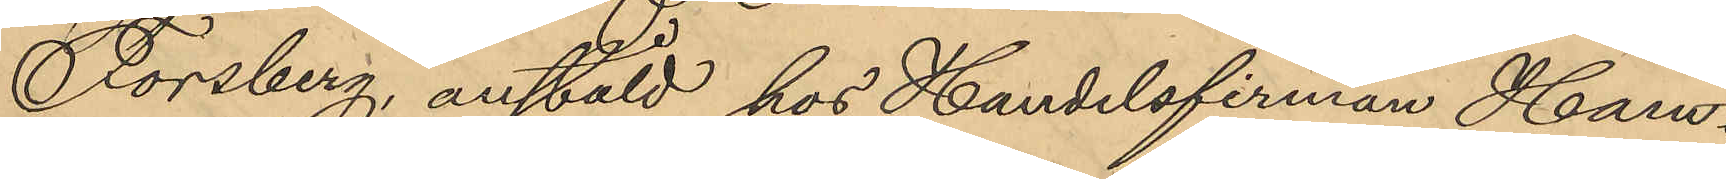Forsberg, anstäld hos Handelsfirman Ham¬
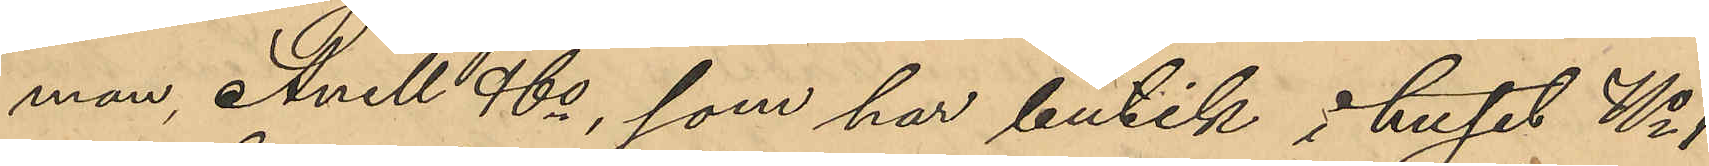mar, Anell & Co, som har butik i huset No 1
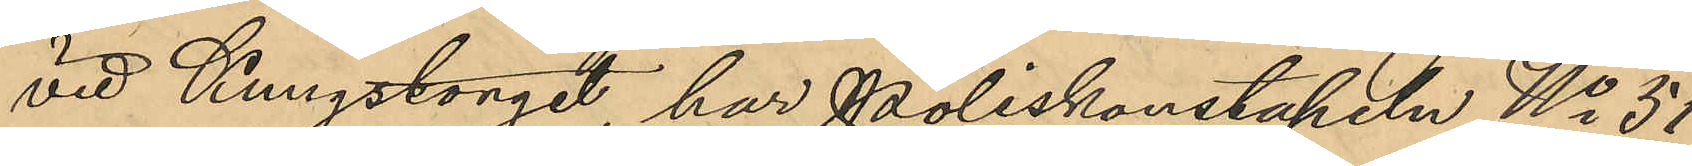vid Kungstorget har Poliskonstapeln No 51
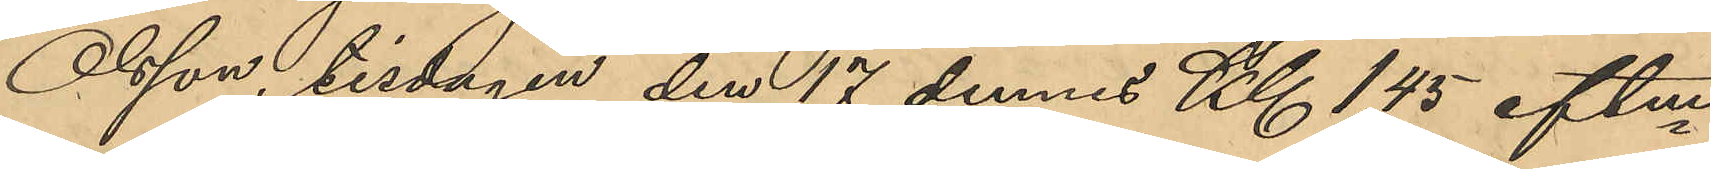Olsson, tisdagen den 17 dennes Kl 1,45 eftm
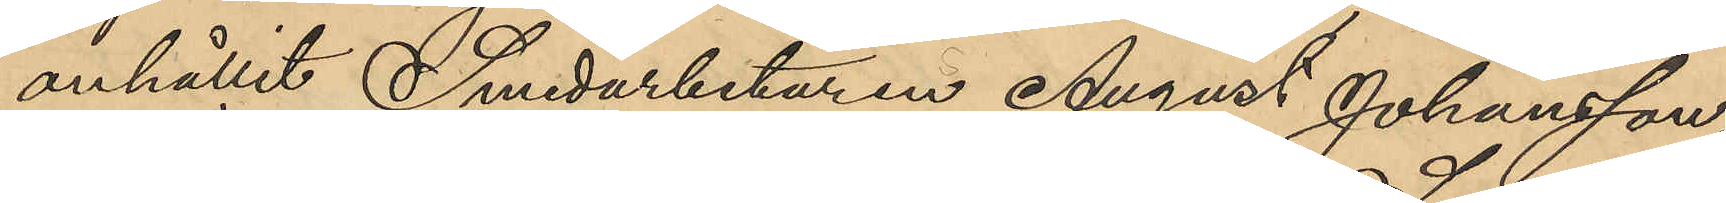anhållit Smedarbetaren August Johansson,
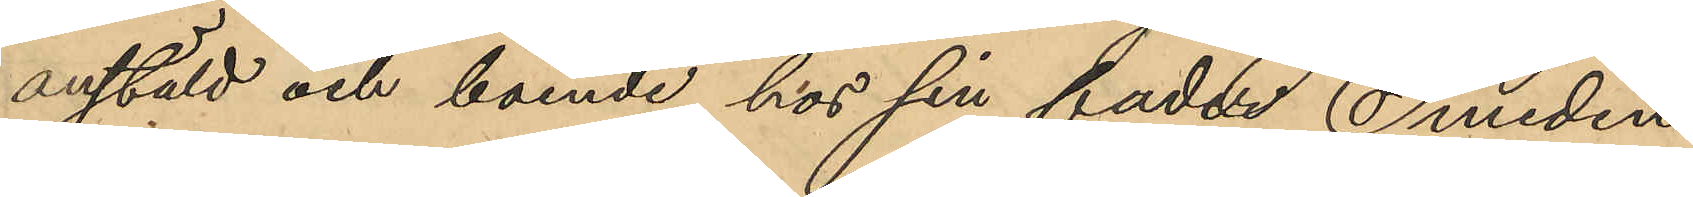anstäld och boende hos sin fader Smeden
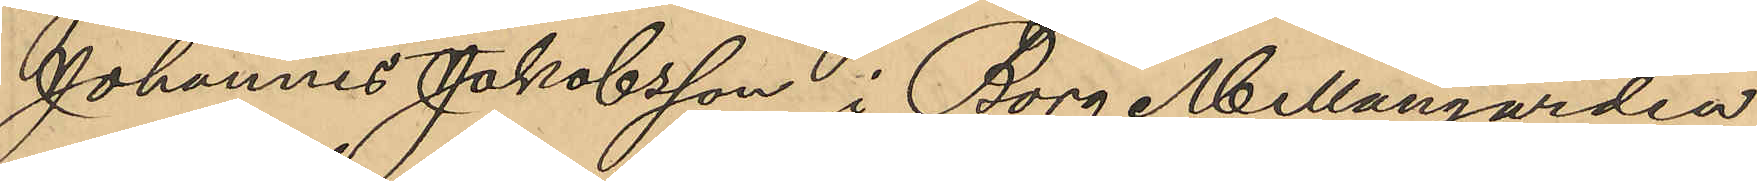Johannes Jakobsson i Borg Mellangården
